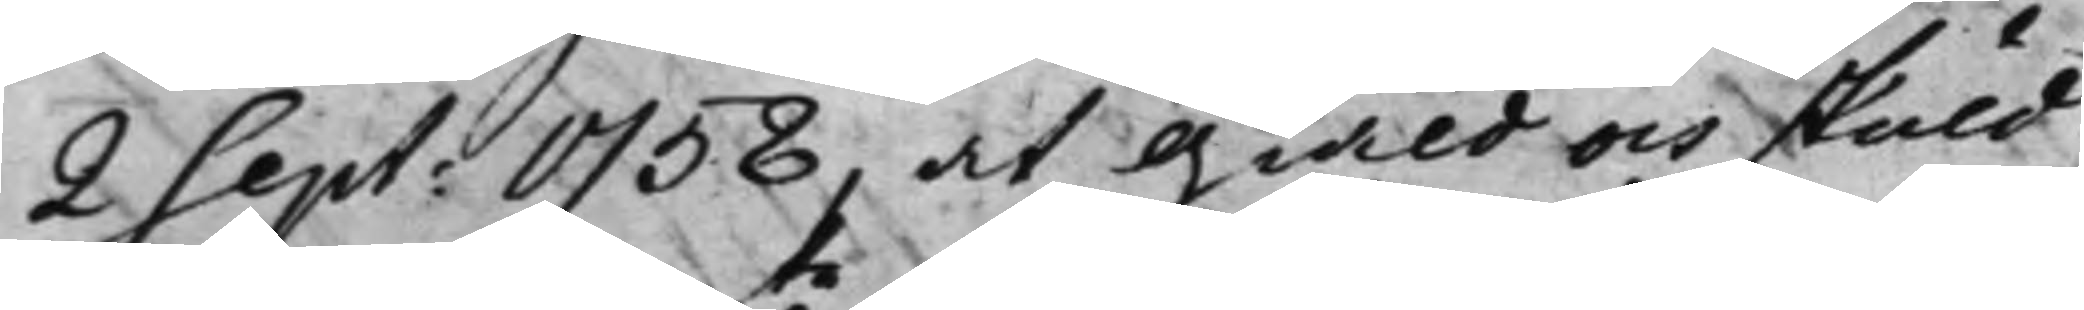2 Sept: 1758, at Giäld och skuld
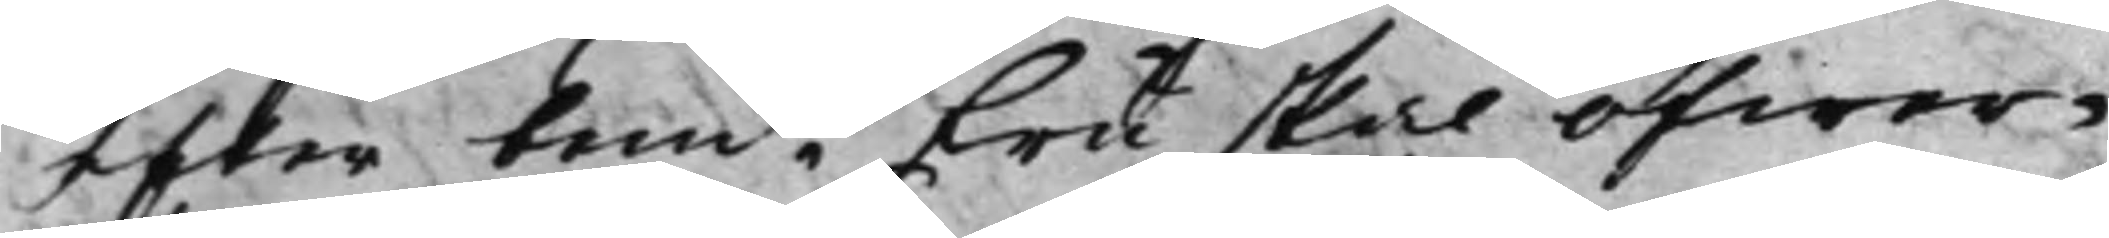efter bemte Fru skal öfwer¬
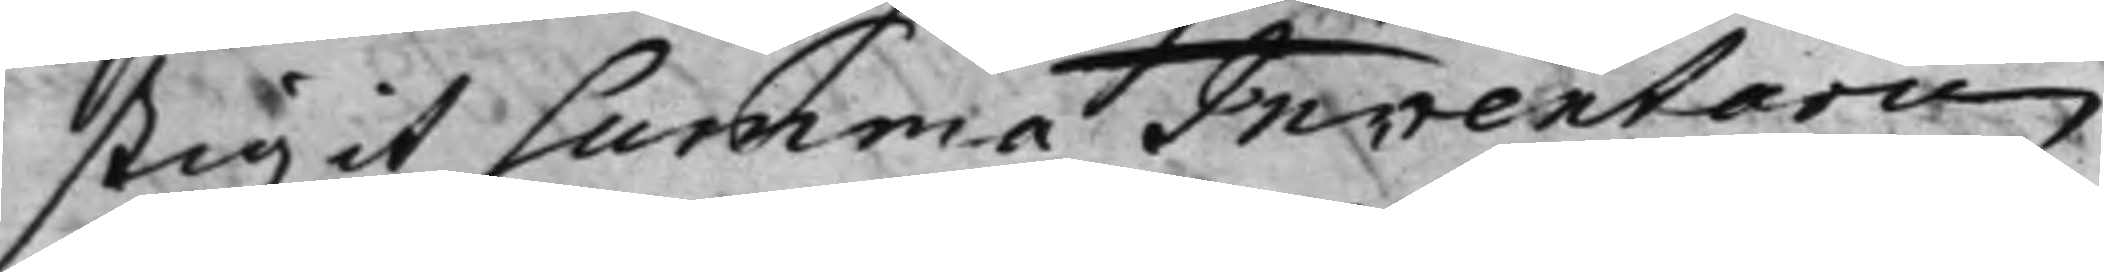stigit Summa Inventarii
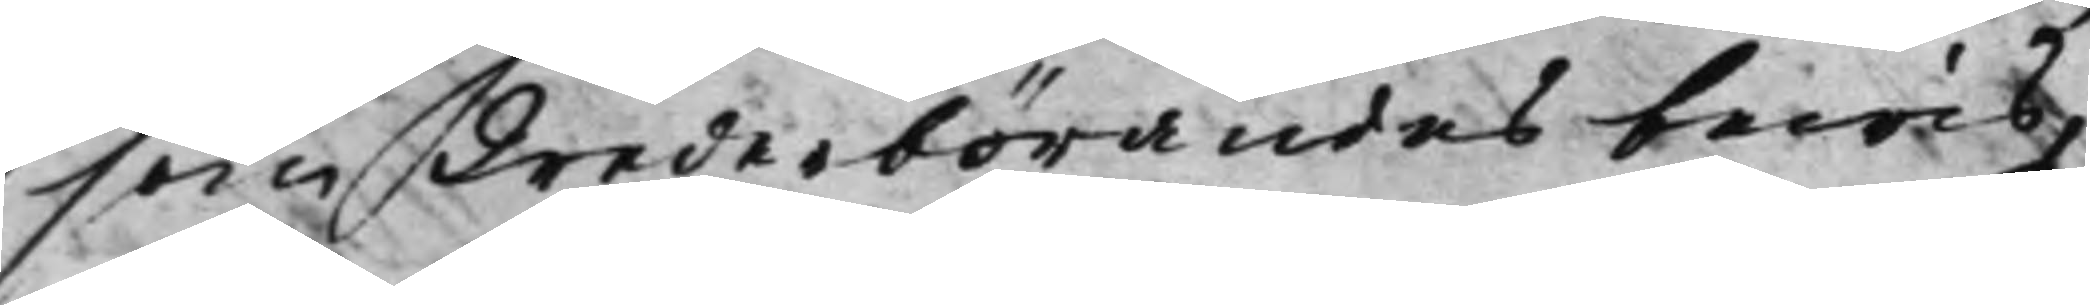som Wederbörandes bewis,
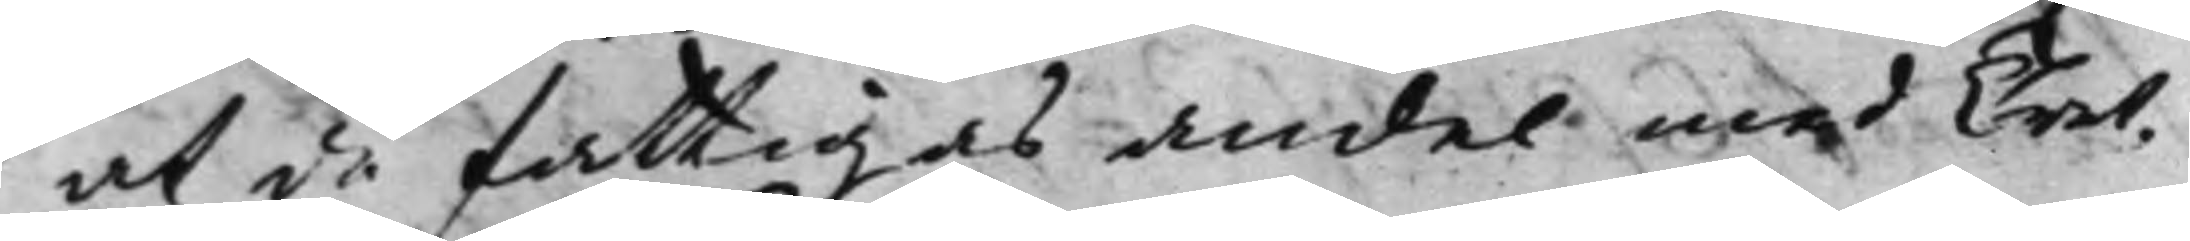at de Fattigas andel med Tret¬
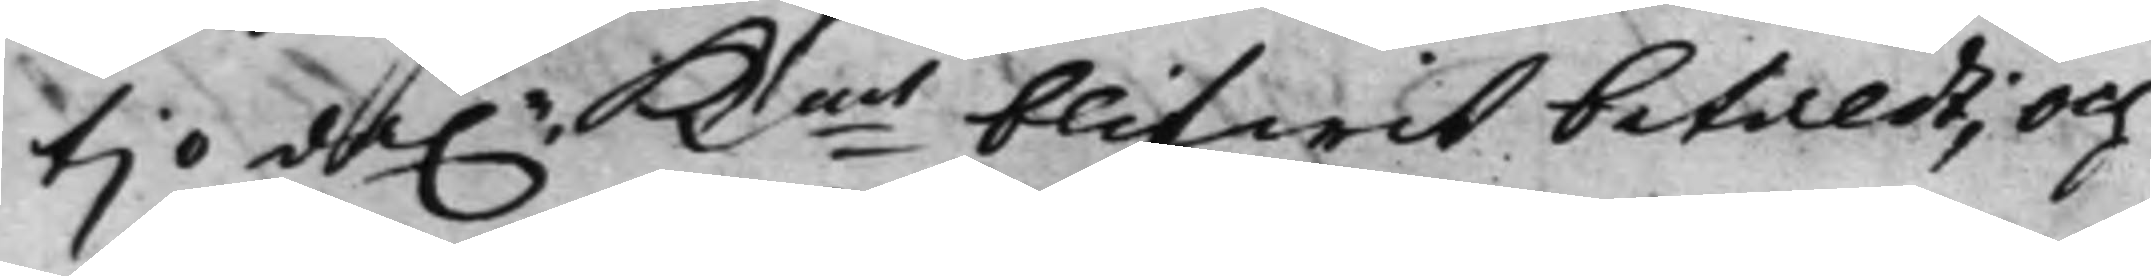tjo da.r Kmt blifwit betaldt; och
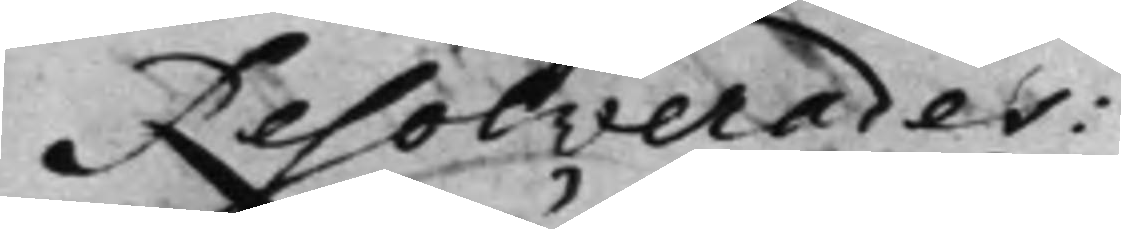Resolverades:
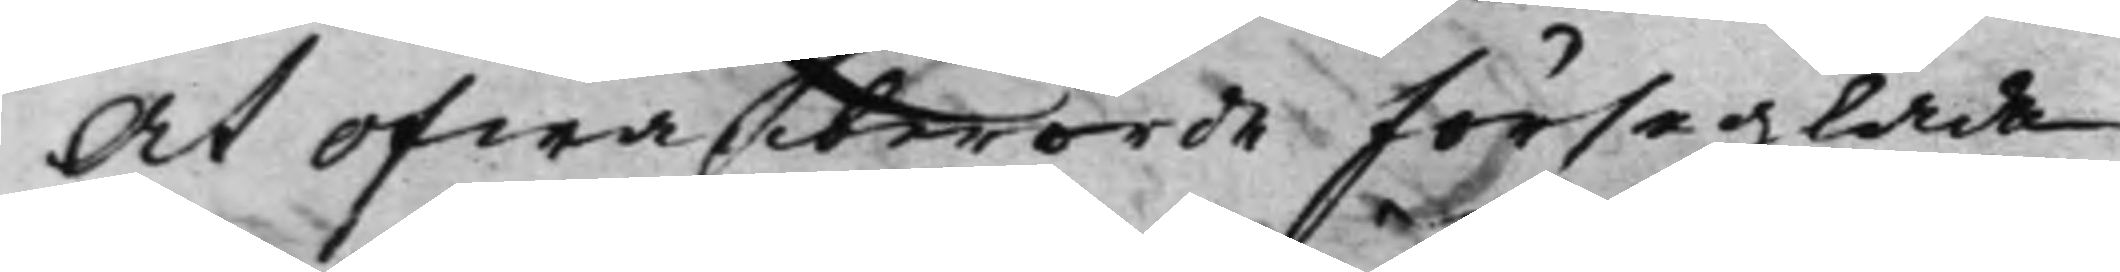At ofwanberörde förseglade
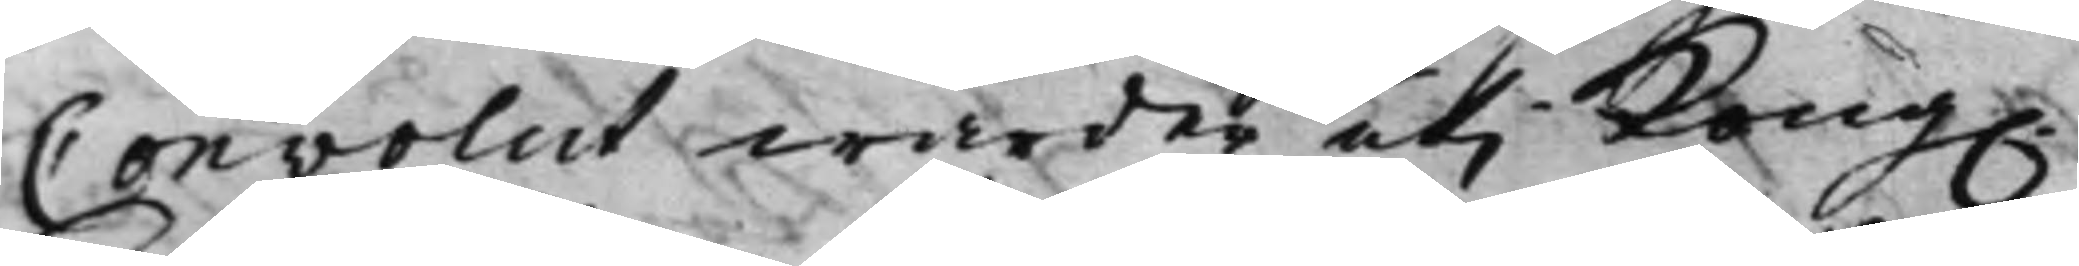Convolut warder uti Kong.
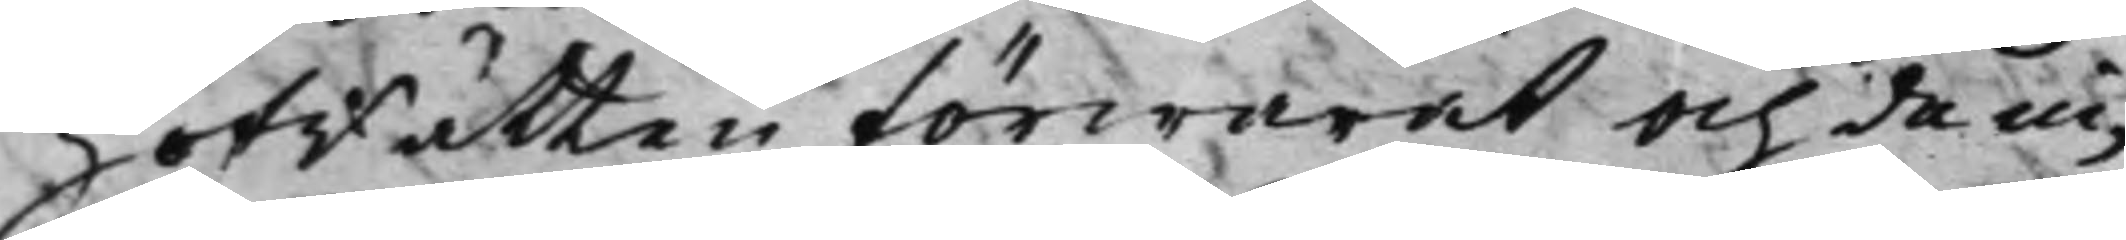HofRätten förwarat och de in¬
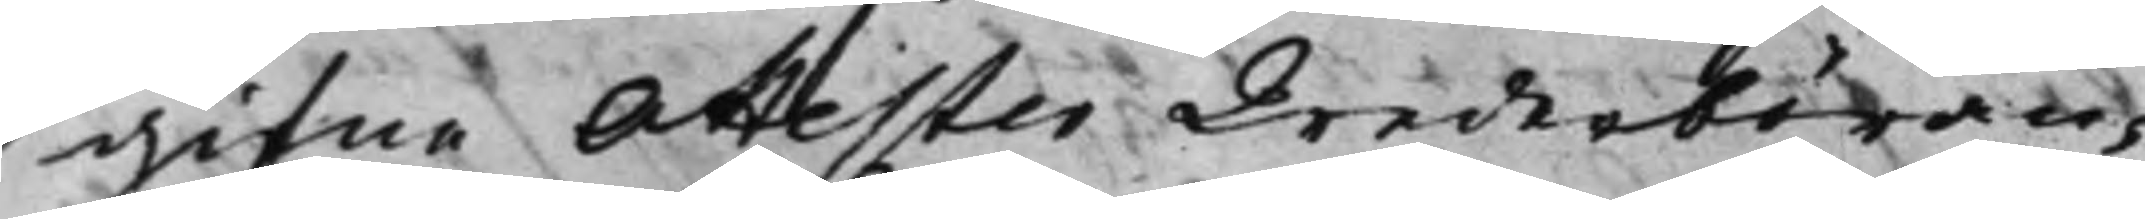gifne Attester Wederböran¬
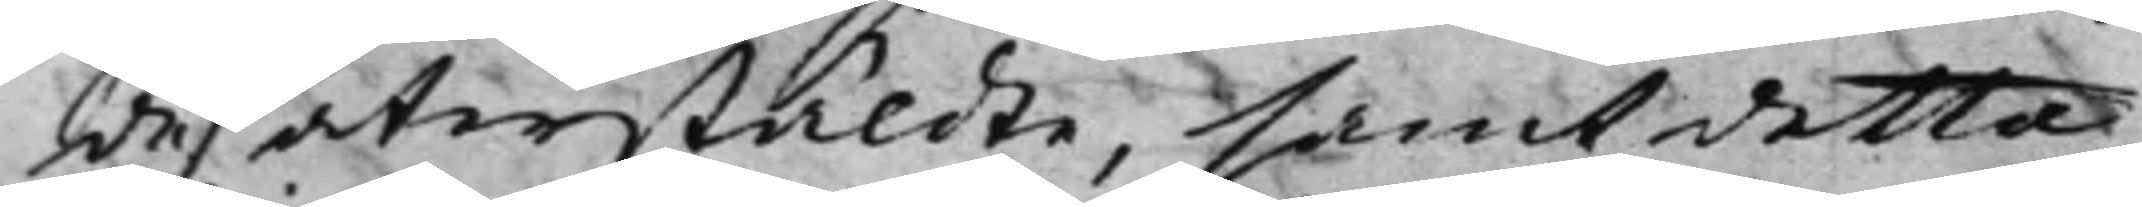de återstäldte, samt detta
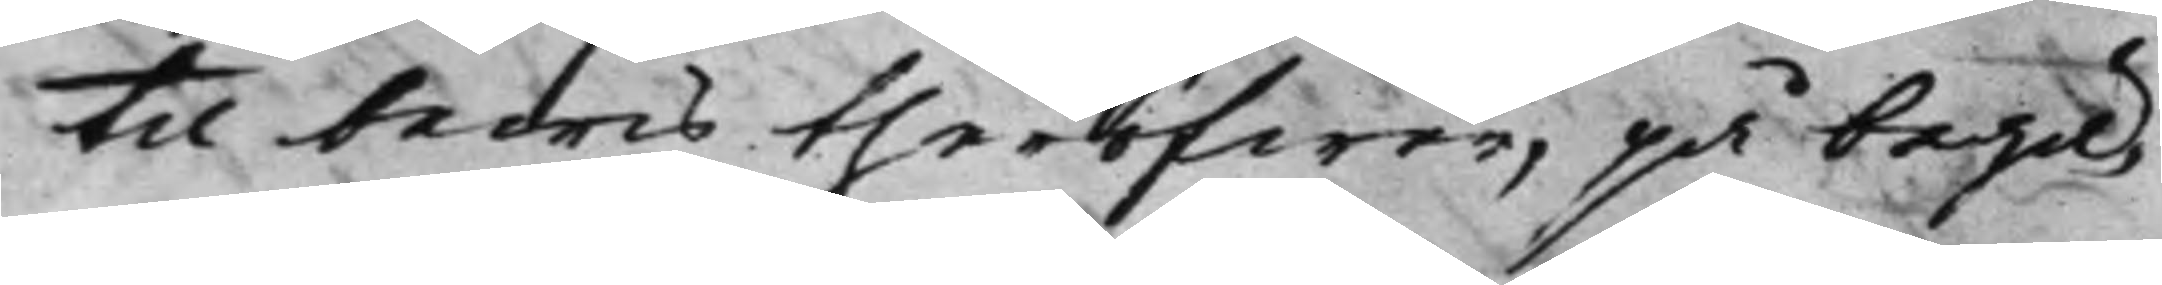til bewis theröfwer, på begä¬
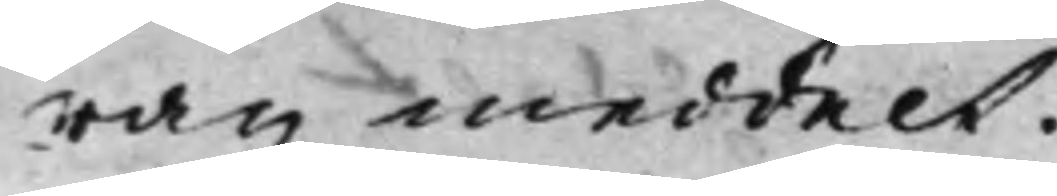ran meddelt.
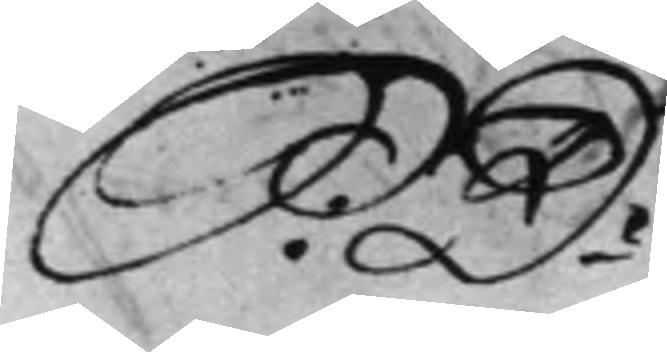S: D:
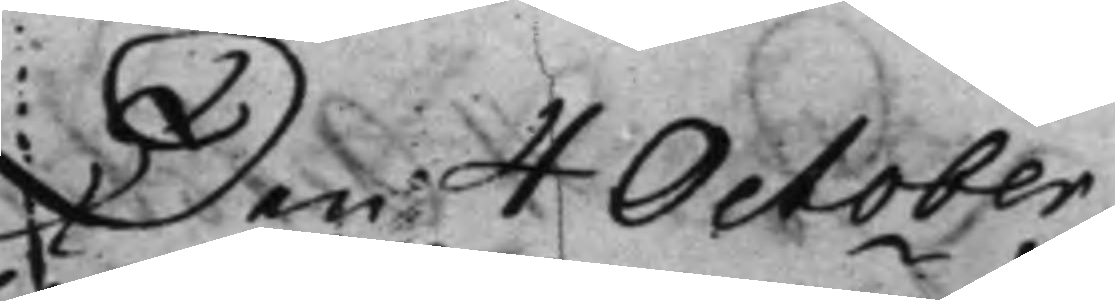Den 4 October
